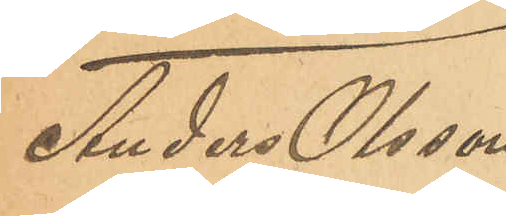Anders Olsson
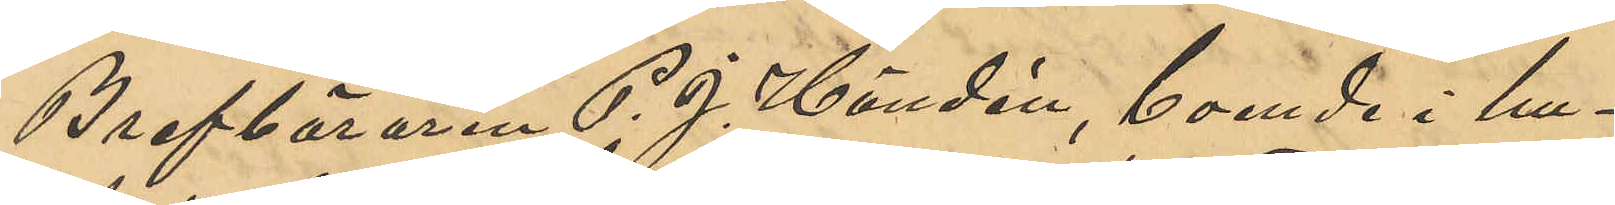Brefbäraren P. J. Händén, boende i hu¬
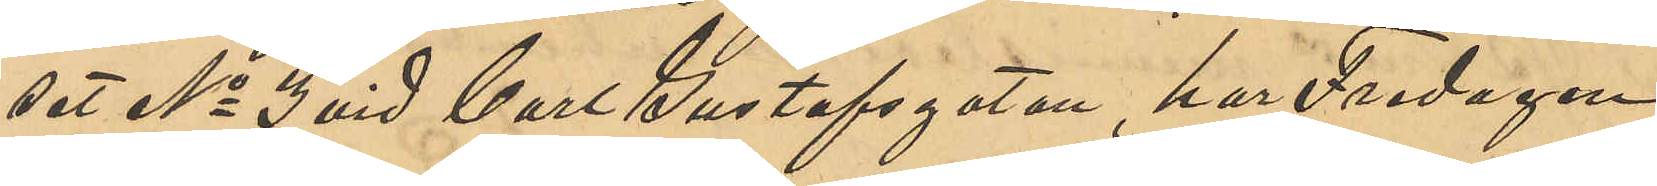set No 3 vid Carl Gustafsgatan, har Fredagen
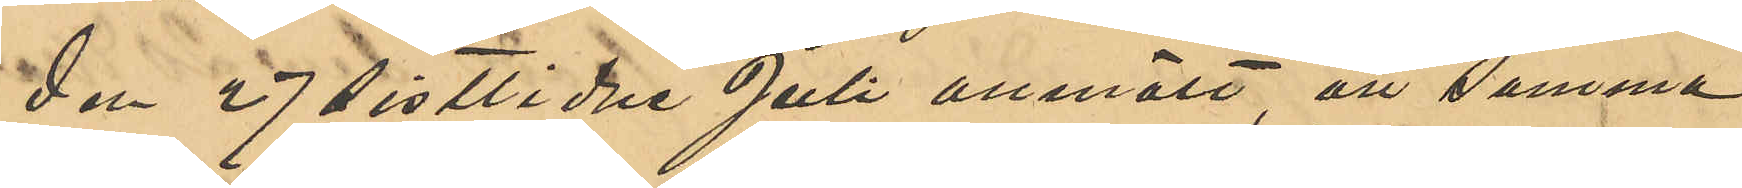den 27 sistlidne Juli anmält, att denna 
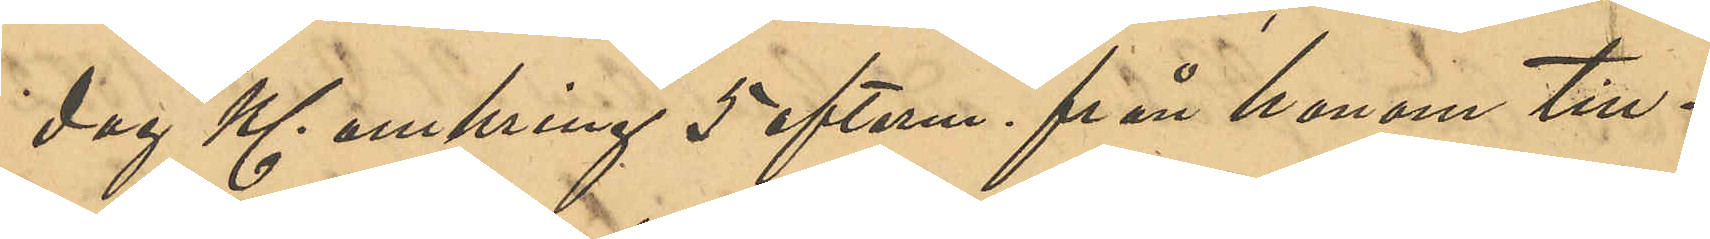dag Kl. omkring 5 efterm. från honom till¬
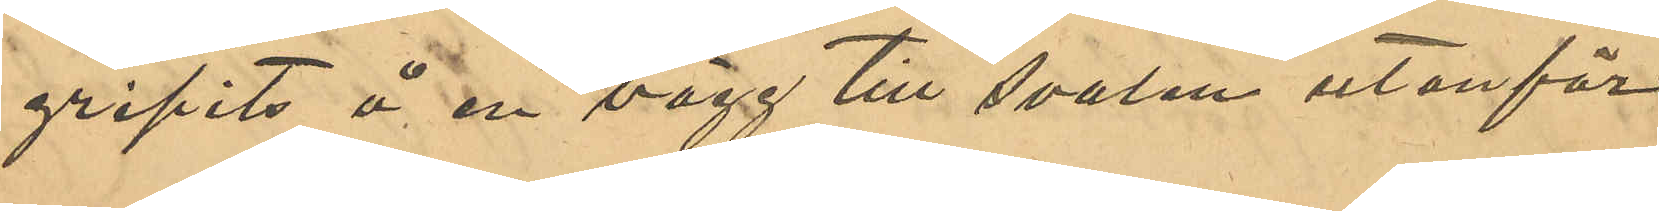gripits å en vägg till svalen utanför
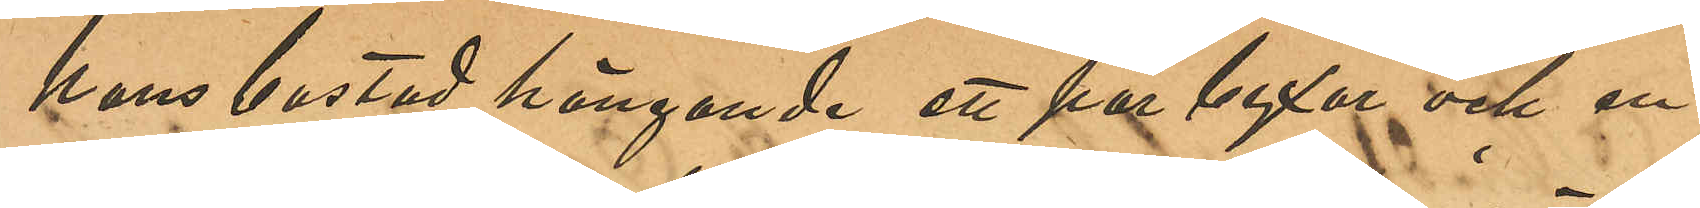hans bostad hängande ett par byxkor och en
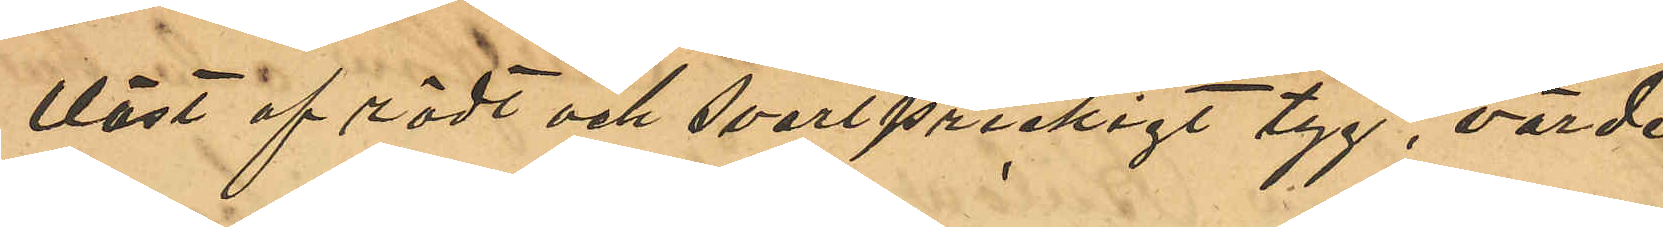väst af rödt och svartprickigt tyg, värde
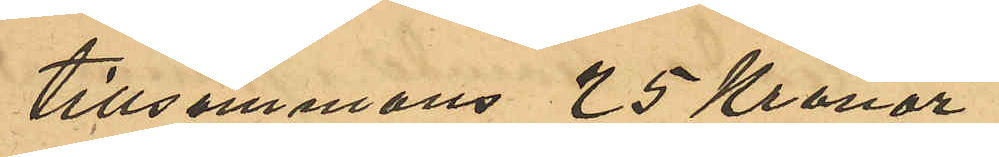tillsammans 25 Kronor.
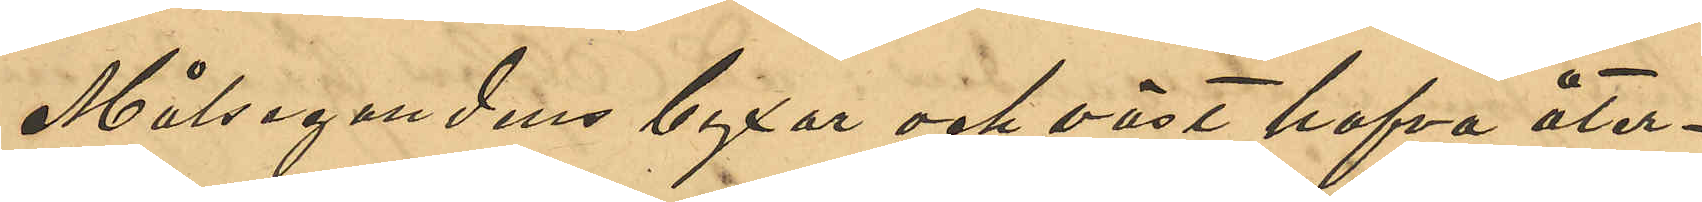Målseganden byxor och väst hafva åter¬
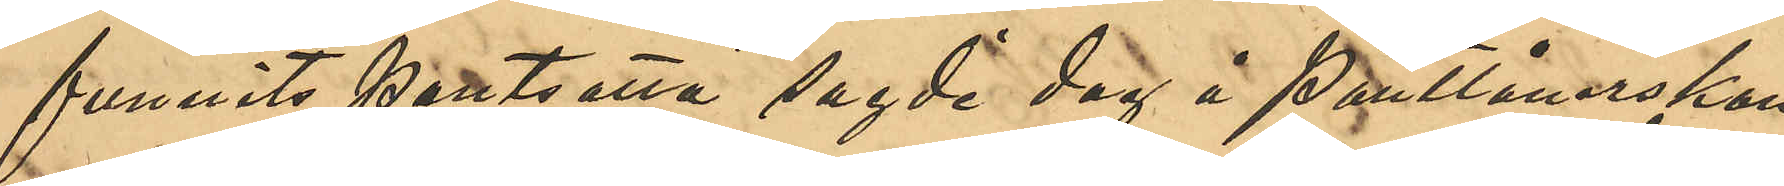funnits pantsatta sagde dag å Pantlånerskan
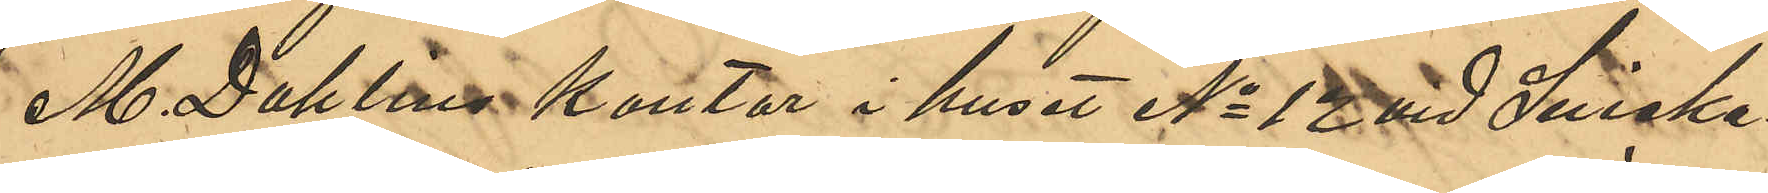M. Dahlins kontor i huset No 12 vid Snicka¬
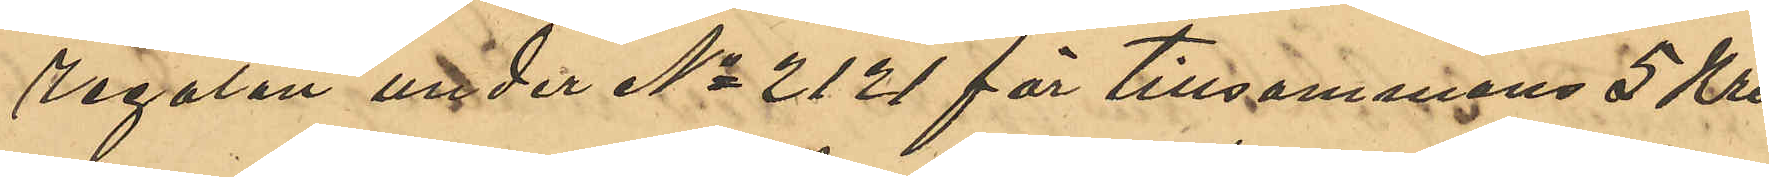regatan under No 2121 för tillsammans 5 Kro¬
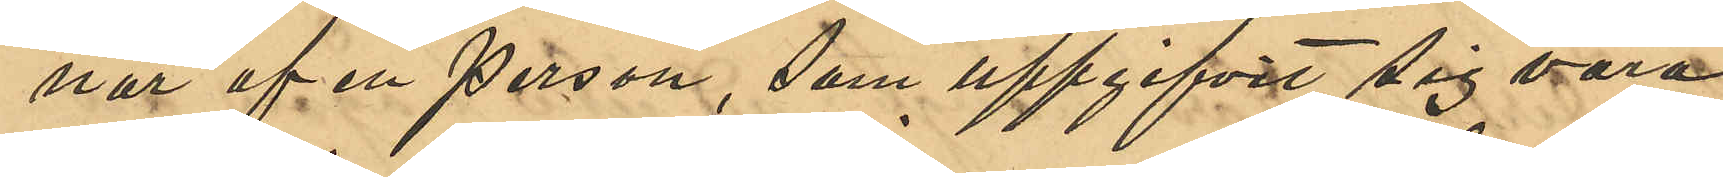nor af en person som uppgifvits sig vara
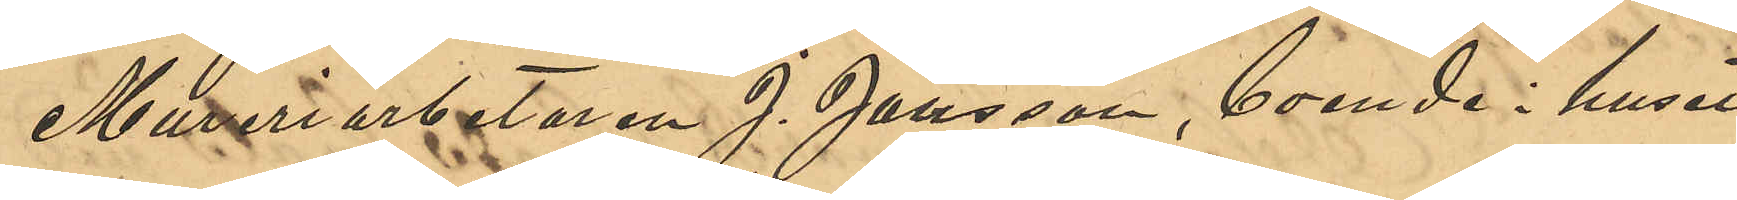Mureriarbetaren J. Jansson, boende i huset
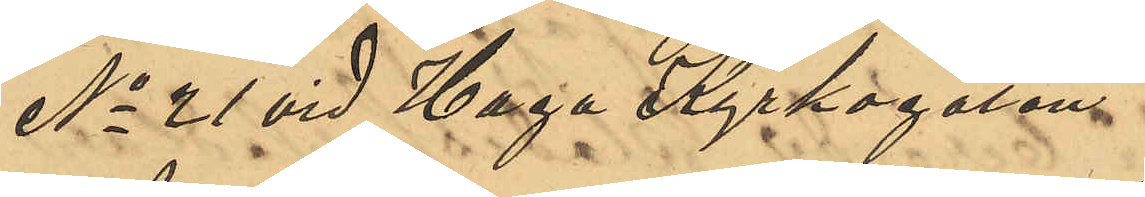No 21 vid Haga Kyrkogatan.
